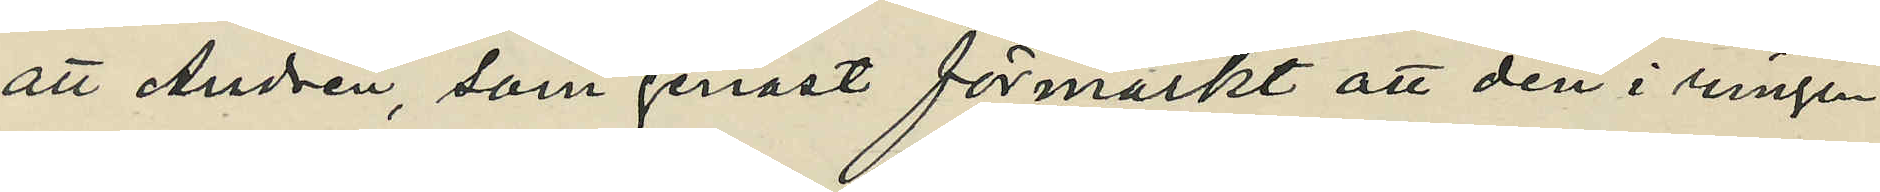att Andrén, som genast förmärkt att den i ringen
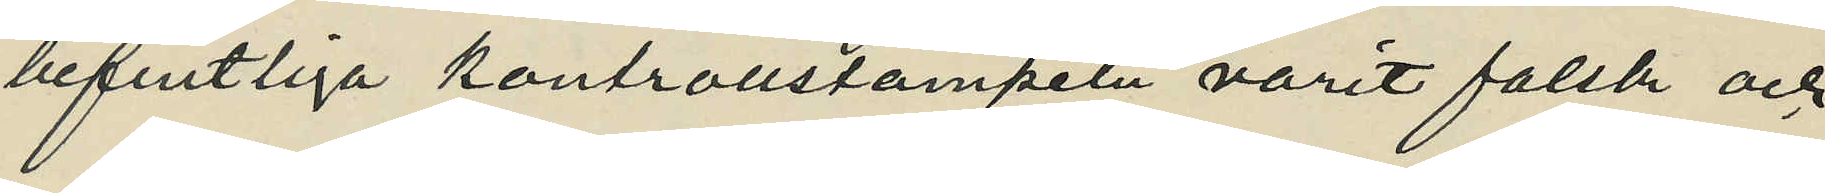befintliga kontrollstampeln varit falsk och
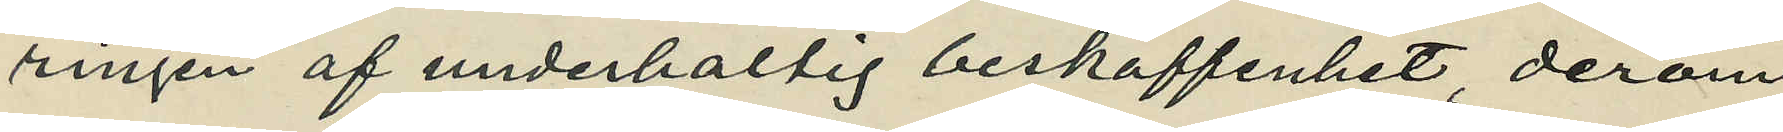ringen af underhaltig beskaffenhet, derom
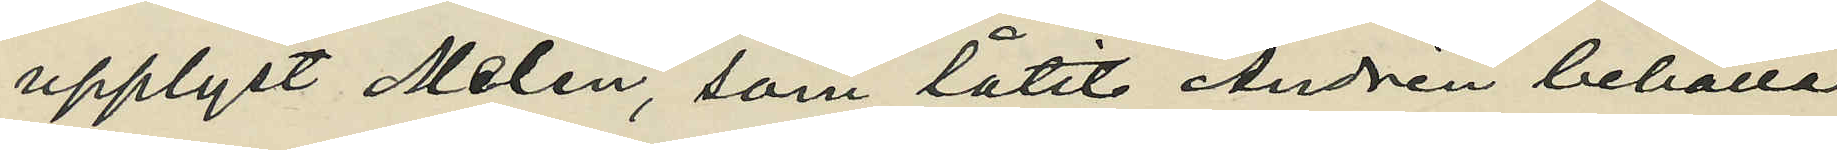upplyst Melin, som låtit Andrén behålla
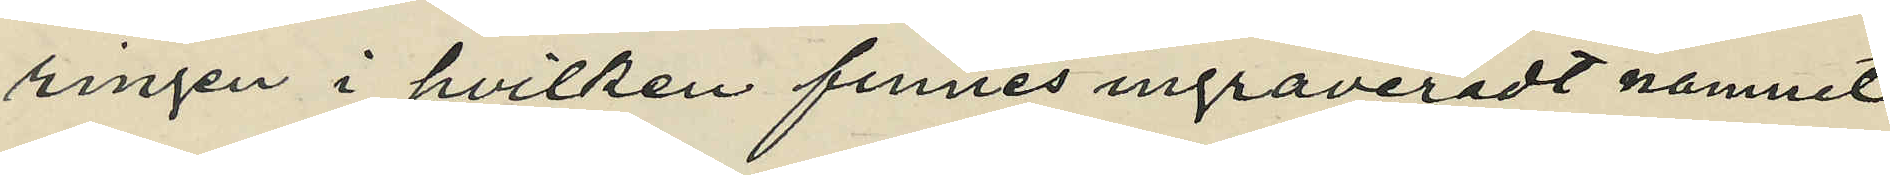ringen i hvilken finnes ingraveradt namnet
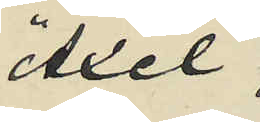"Axel",
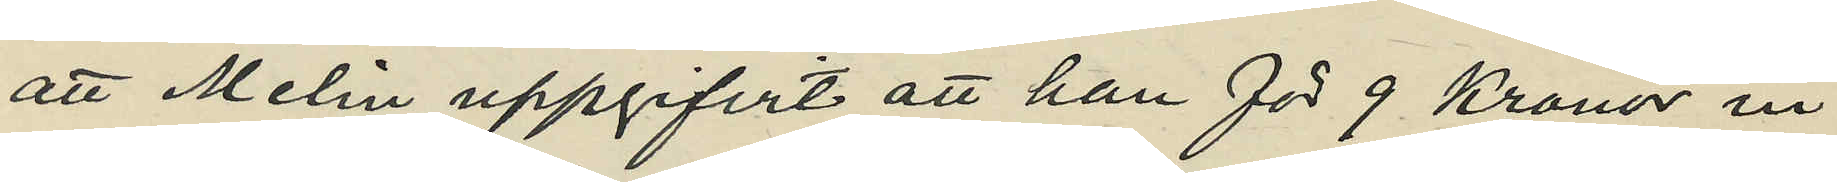att Melin uppgifvit att han för 9 Kronor in¬
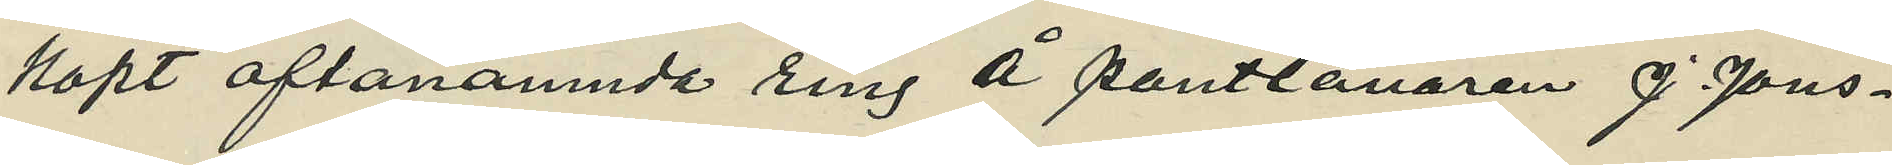köpt oftanämnde ring å pantlånaren J. Jons¬
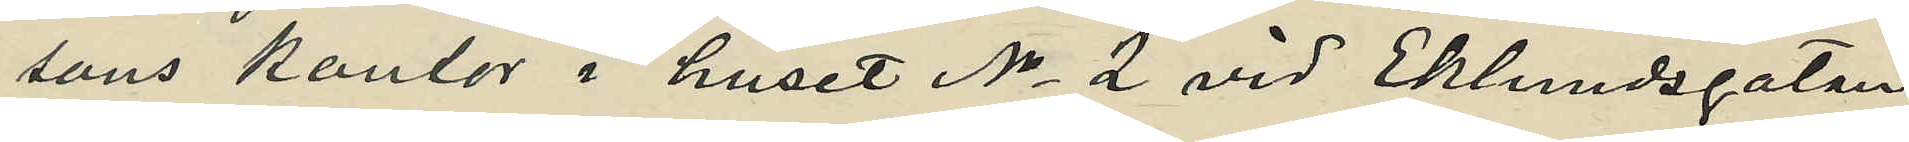sons kontor i huset No 2 vid Eklundsgatan,
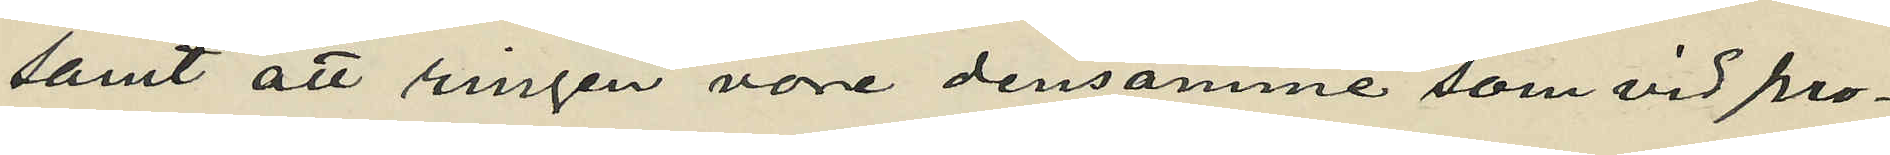samt att ringen vore densamme som vid pro¬
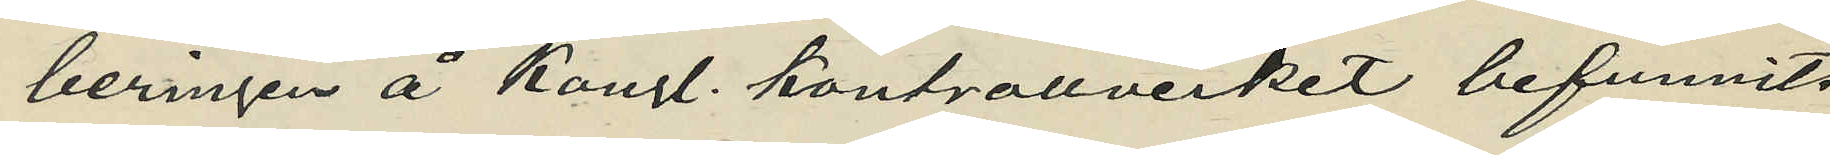beringen å Kungl. Kontrollverket befunnits
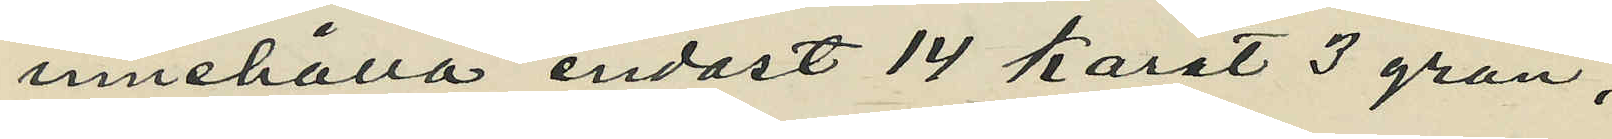innehålla endast 14 karat 3 grän;
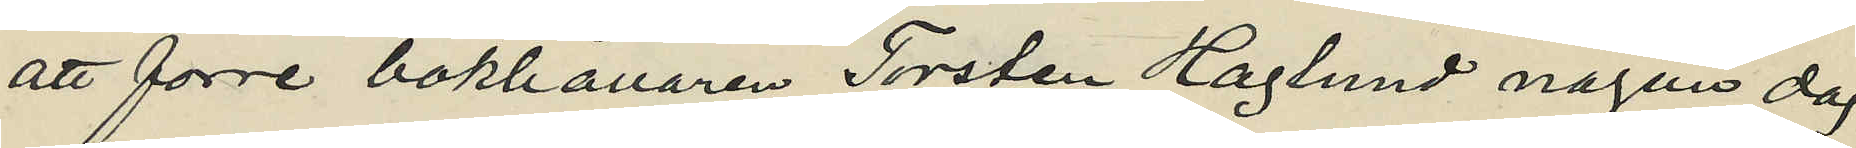att förre bokhållaren Torsten Haglund någon dag
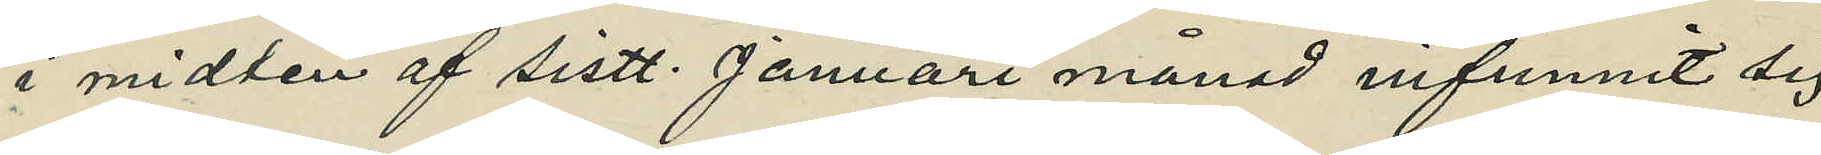i midten af sistl. Januari månad infunnit sig
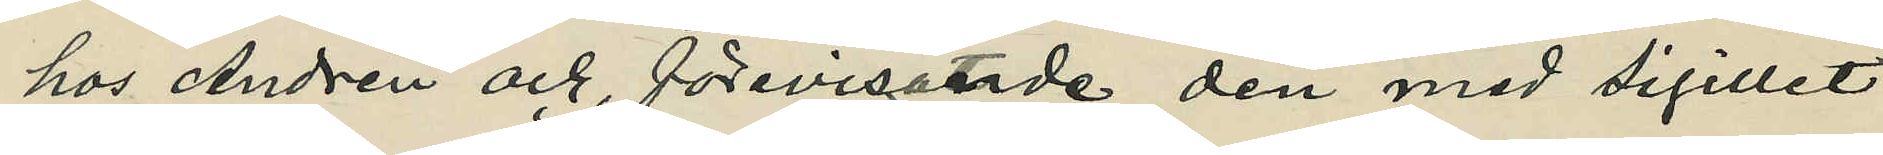hos Andrén och, förevisande den med sigillet
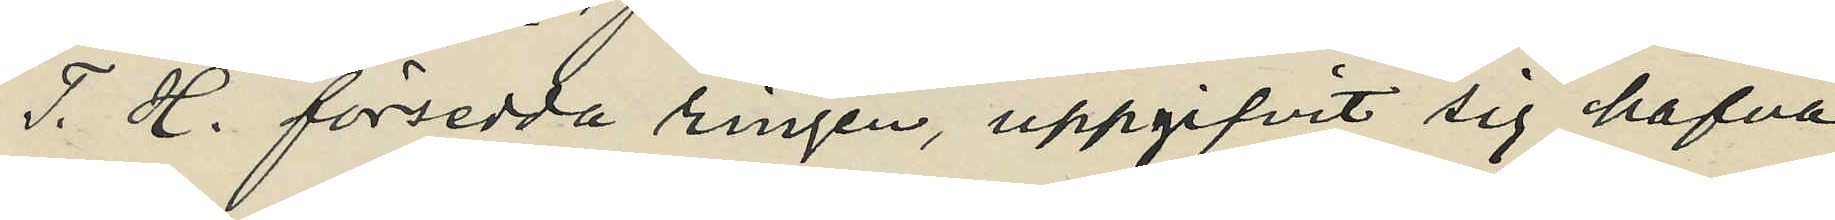T. H. försedda ringen, uppgifvit sig hafva
